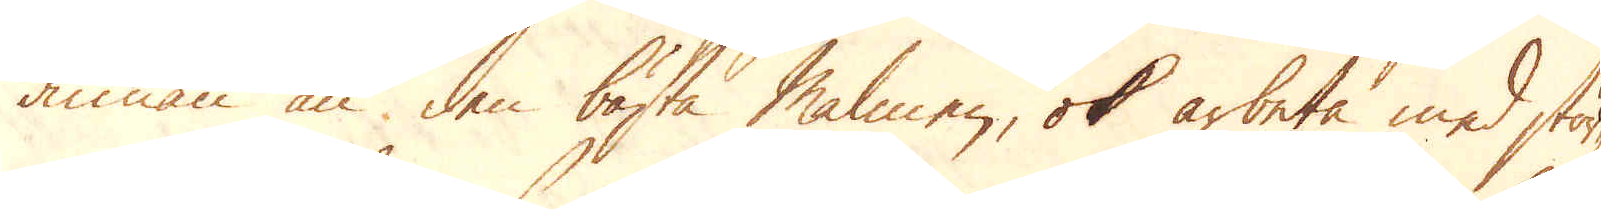annan än, den bästa Malmen, ok arbeta med stör-
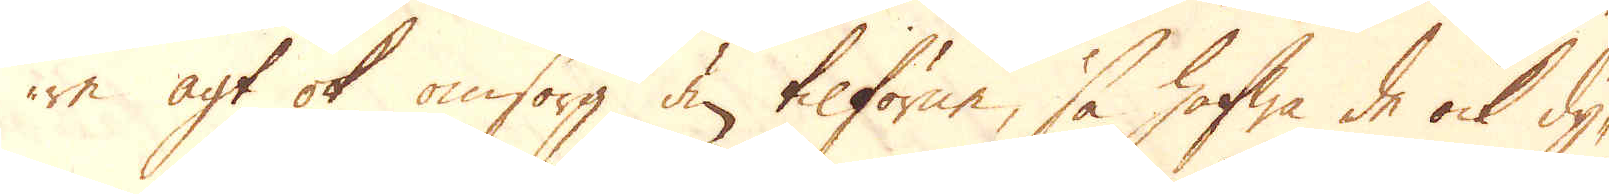re agt ok omsorg den tilförne, så hafwa de ock dy-
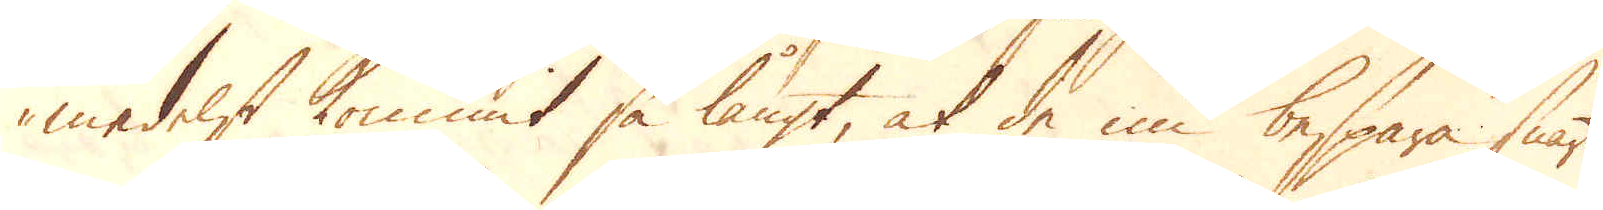medelst kommit så långt at de nu bespara snart
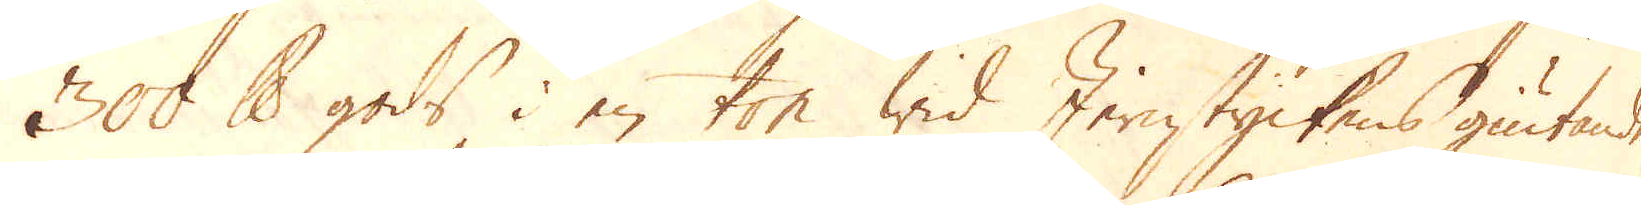300 skålpund gods i en ton wid Jernstyckens giutande,
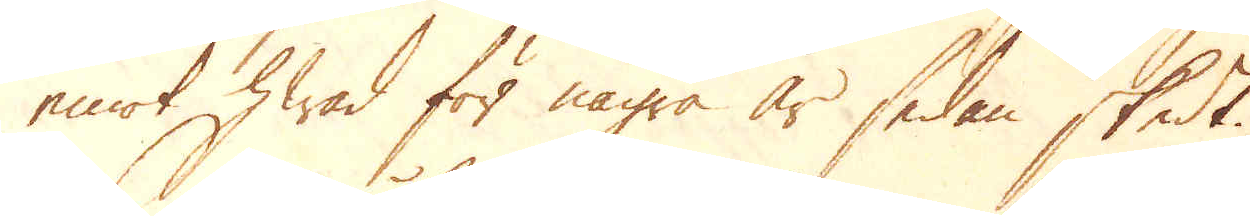emot hwad för några år sedan skedt.
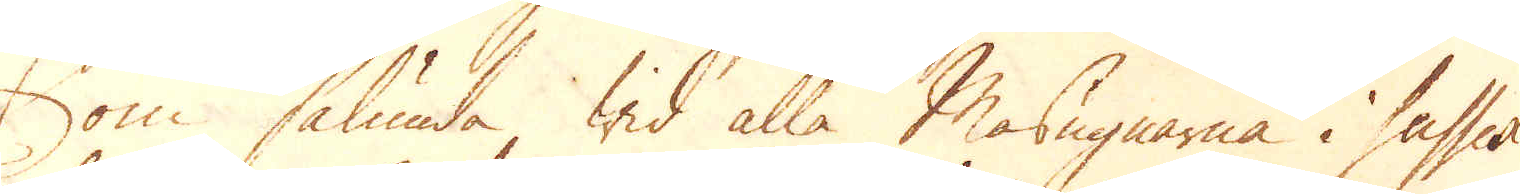Som sålunda wid alla Masugnarna i Sussex
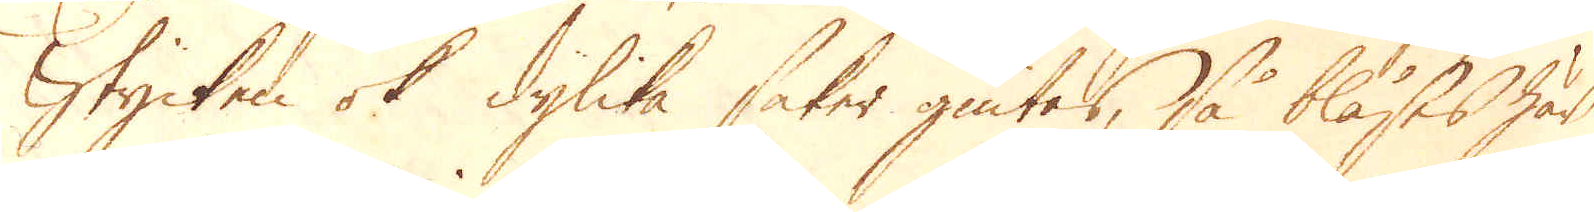Stycken ok dylika saker giutas, så blåses här
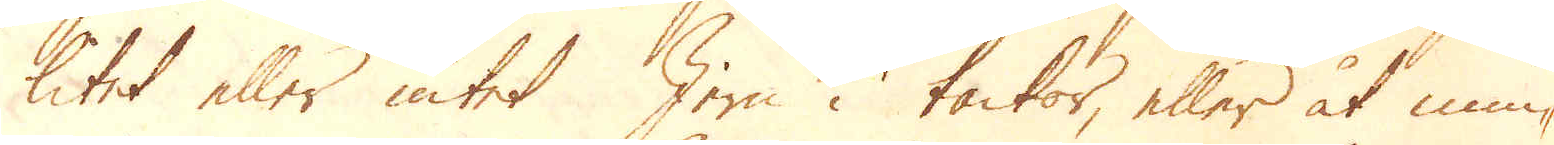litet eller intet Jern i tackor, eller åt min-
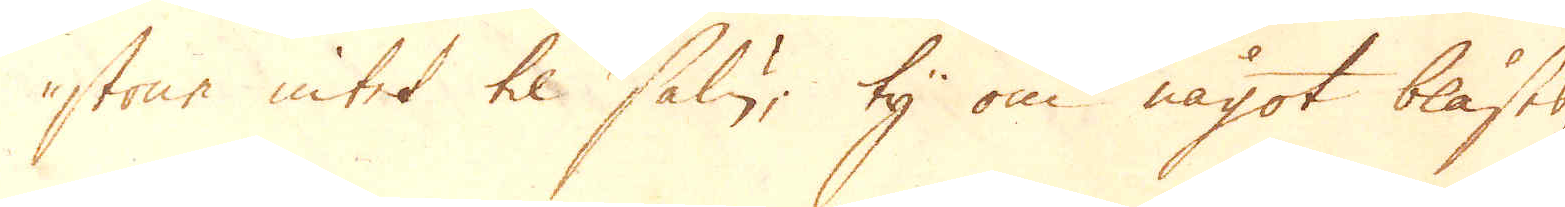stone intet til salu; ty om något blåstes,
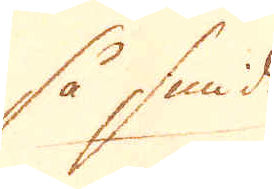så smides
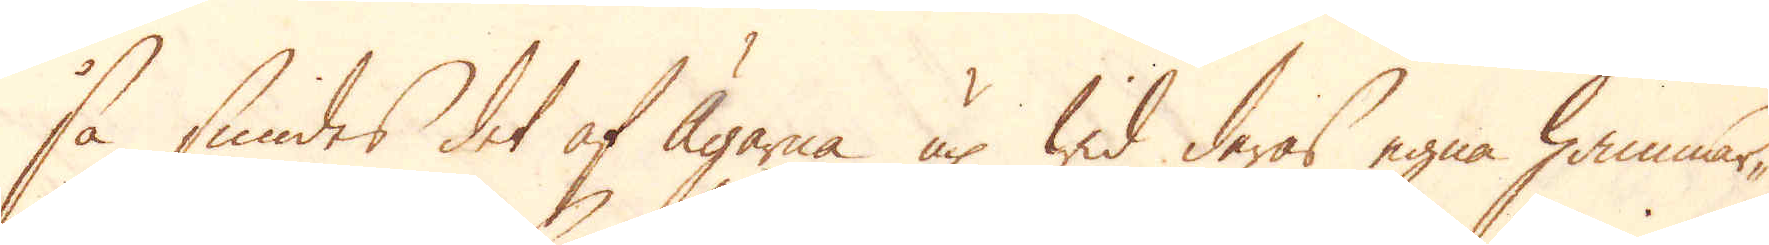så smides det af Ägarna up wid deras egna hammar-
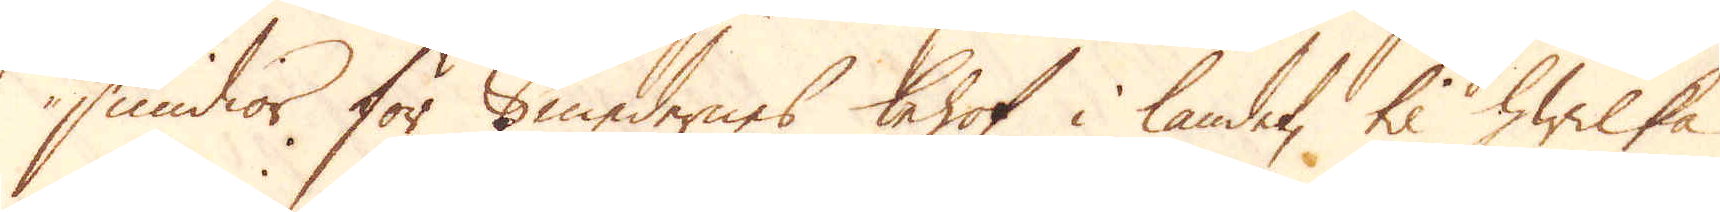smidior för Smedernes behof i landet, til hwilka
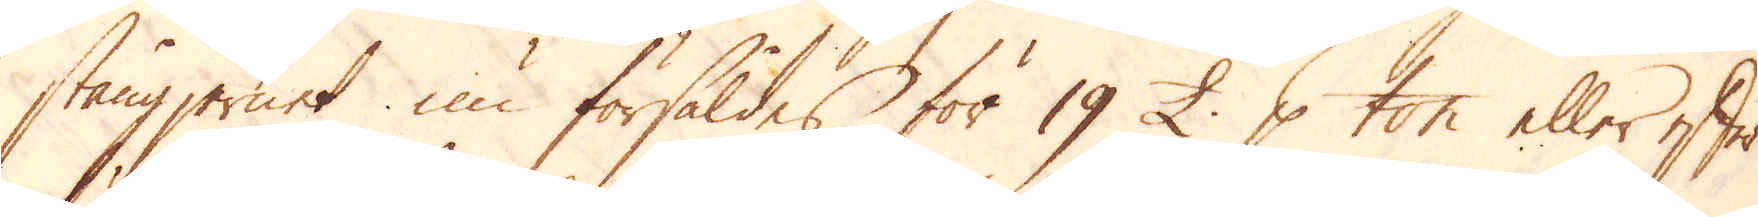stångjernet nu försåldes för 19 £ p ton eller efter
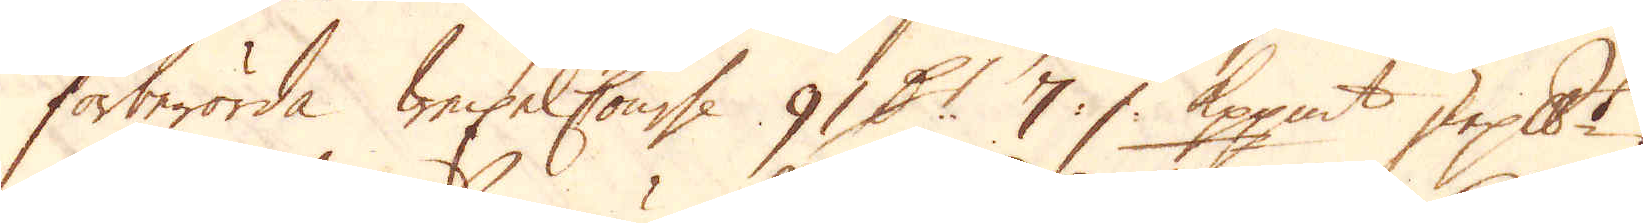förberörda Waxelcourse 91 Dl:r 7 :/: Kppmt skeppundet.
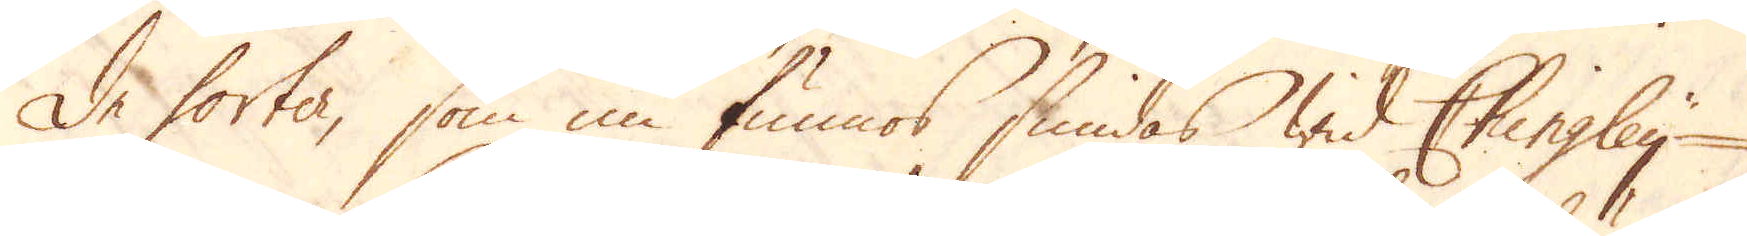De sorter, som nu funnos smidas wid Chingley
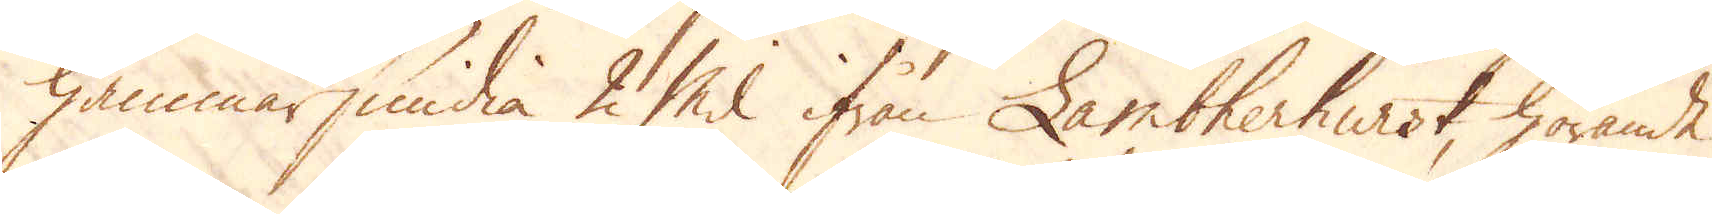hammarsmidia 2 mil ifrån Lambherhurst, hörande
